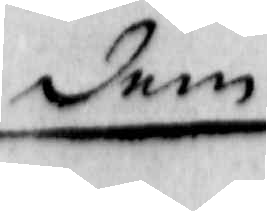dem
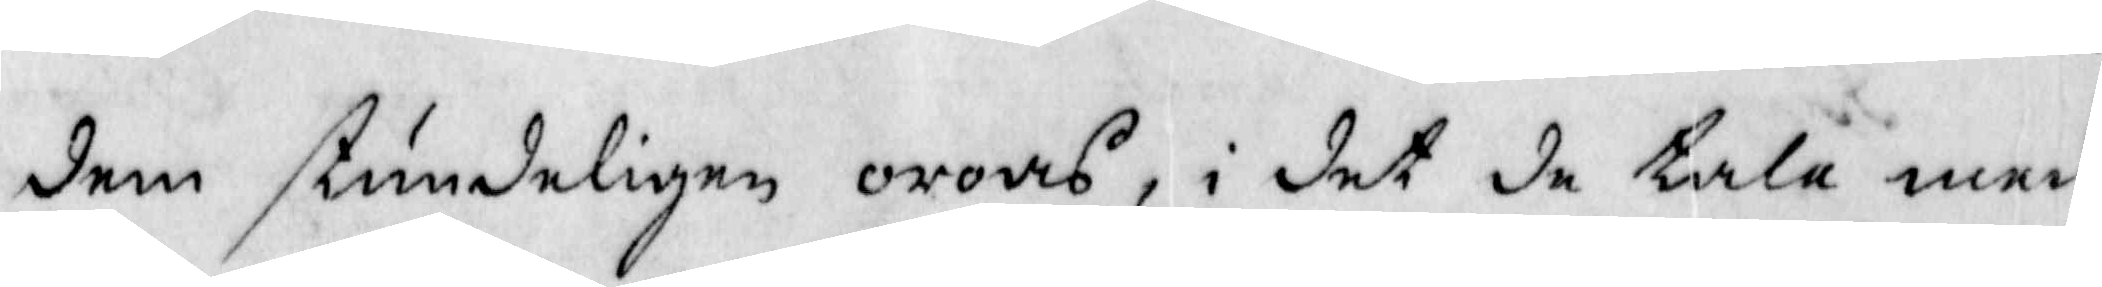dem stundeligen oroas, i det de tala med
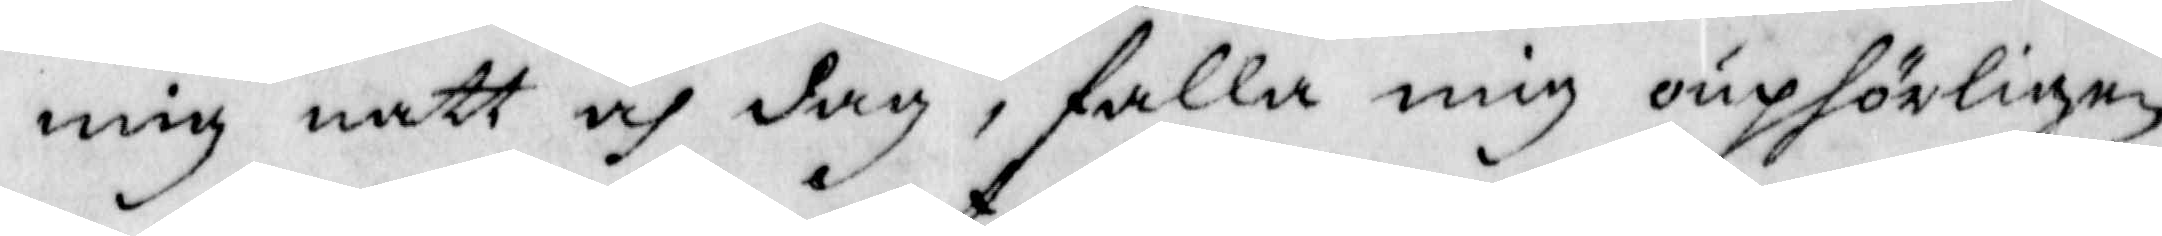mig natt och dag, faööa mig ouphörligen
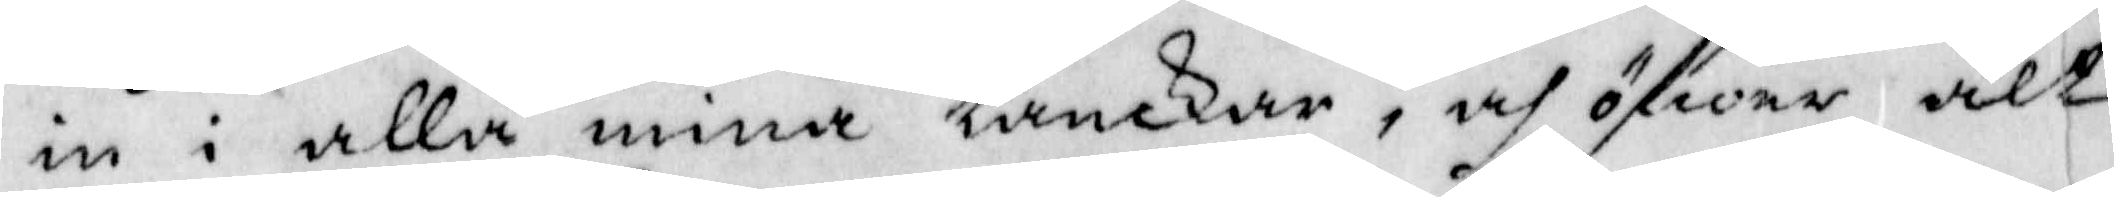in i alla mine tanckar, och öfwer alt
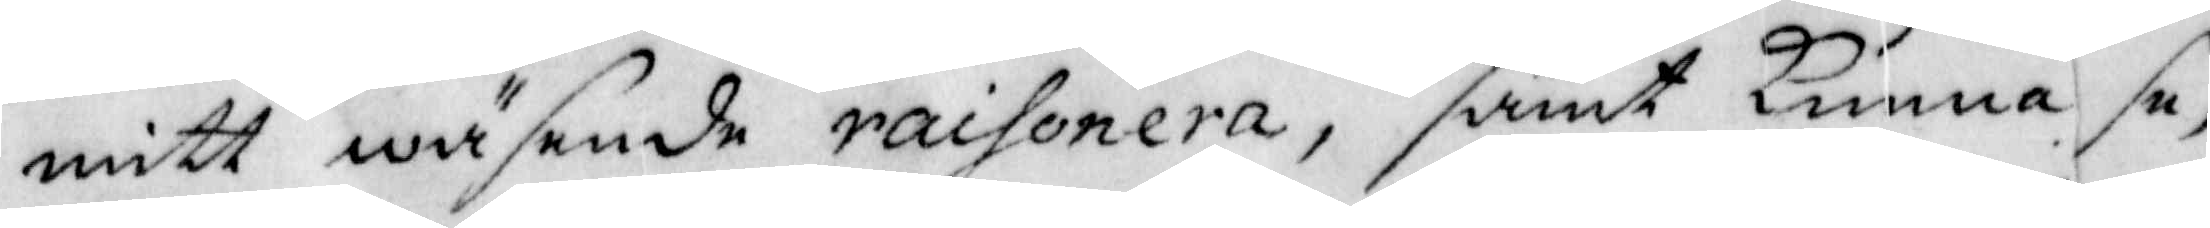mitt wäsende raihonera, samt kunna se,
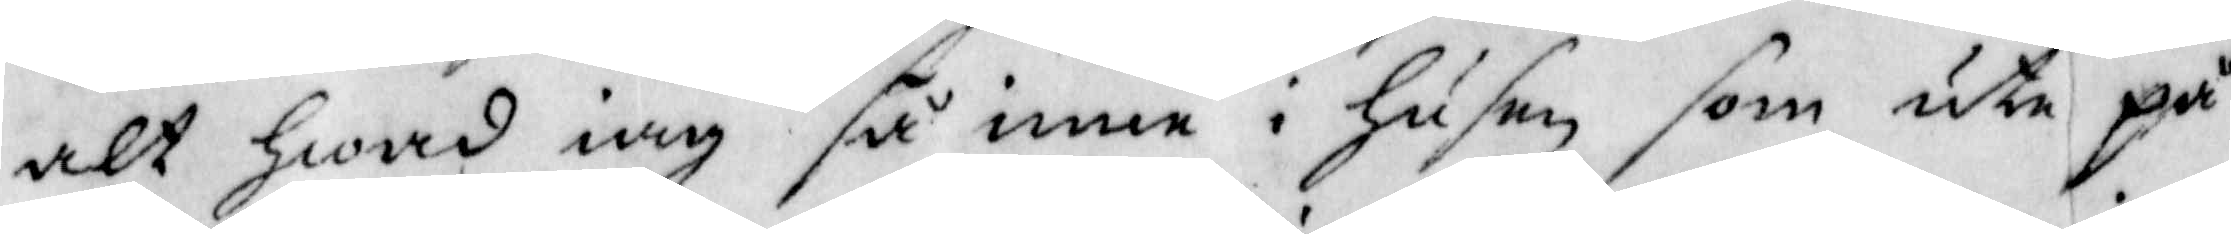alt Hwad iag så inne i Husen som ute på
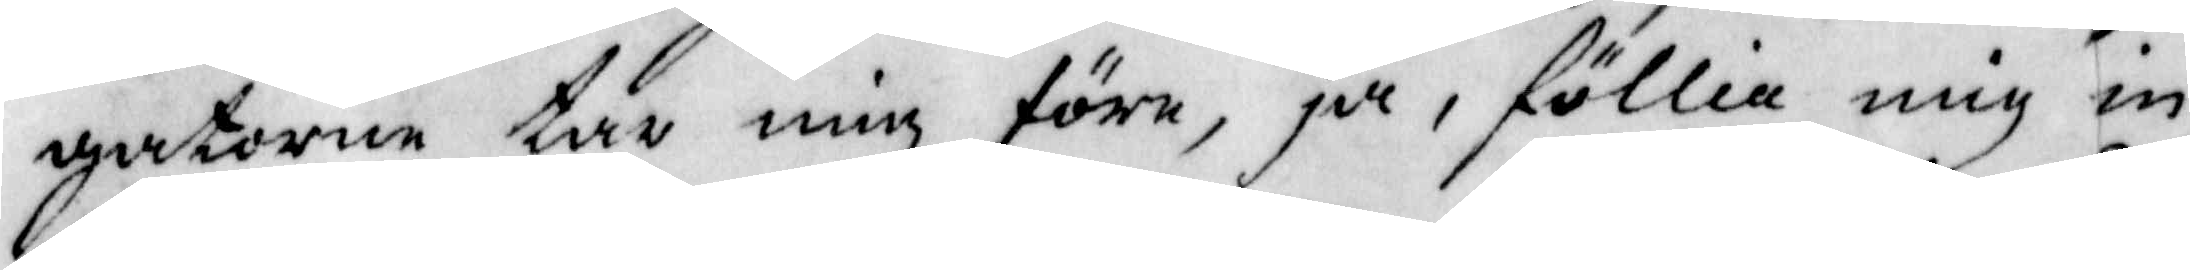gatorne tar mig före, ja, föllia mig in
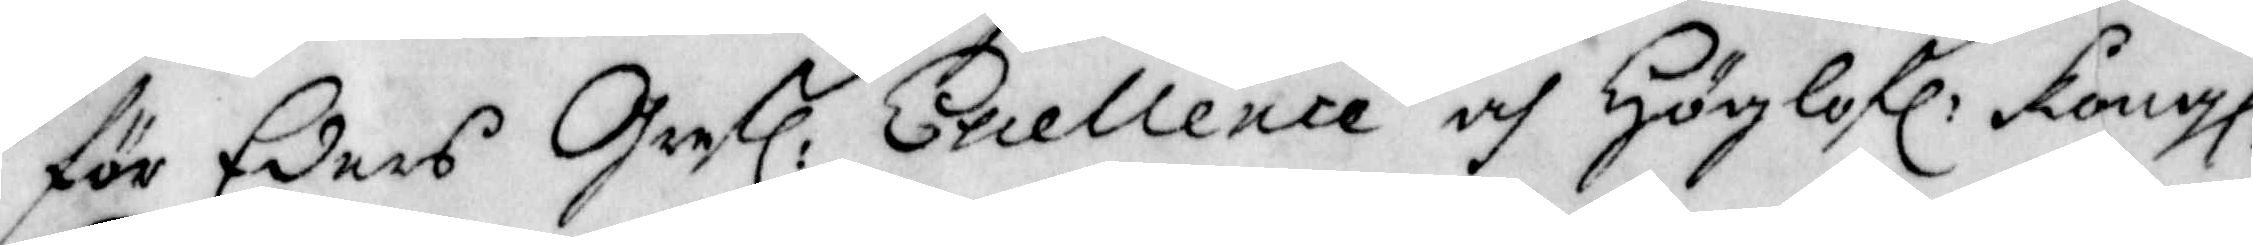för Eders Grefl: Excellende och Höglofl: Kongl:
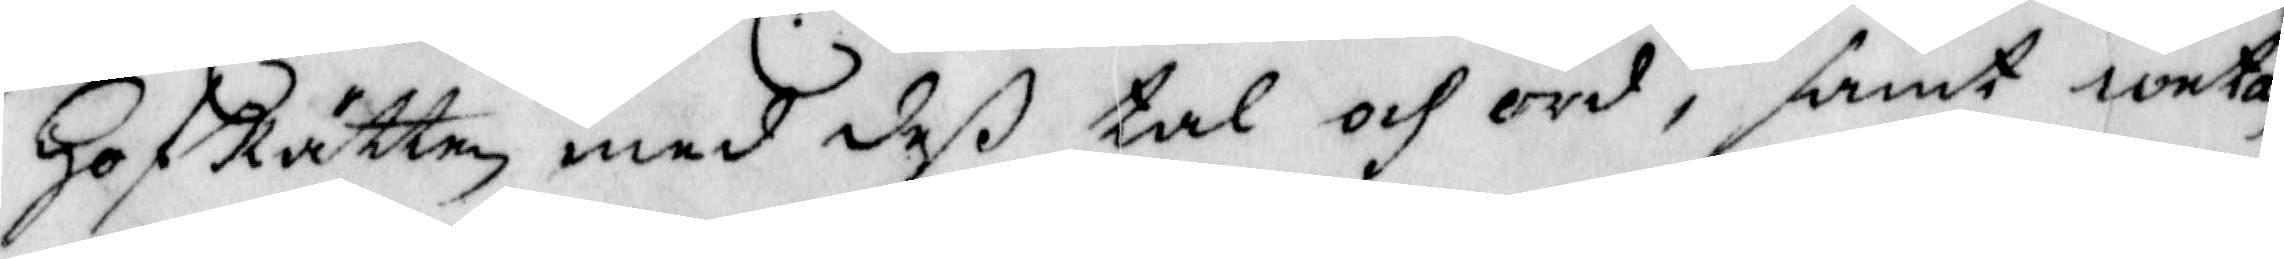HofRätten med deß tal och ord, samt weta
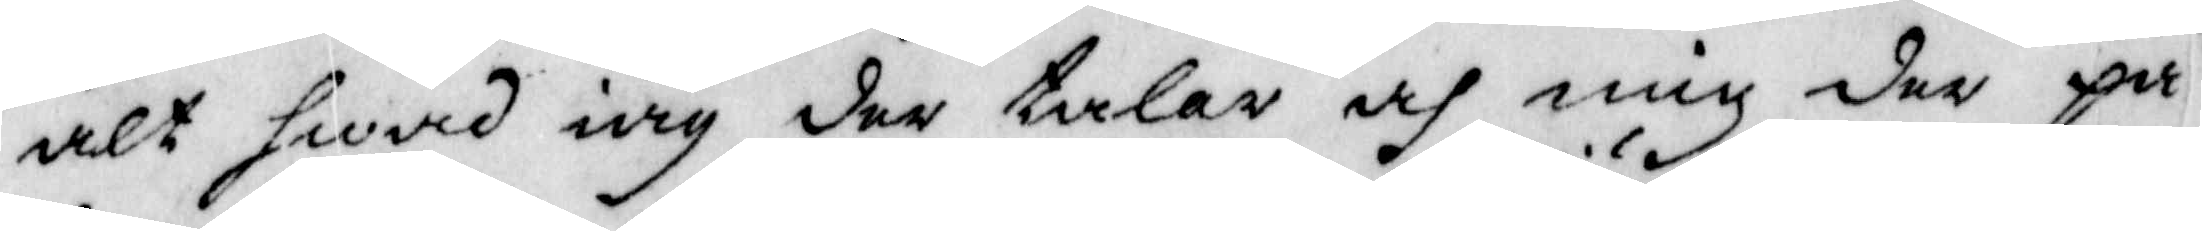alt Hwad iag der talar och mig der på
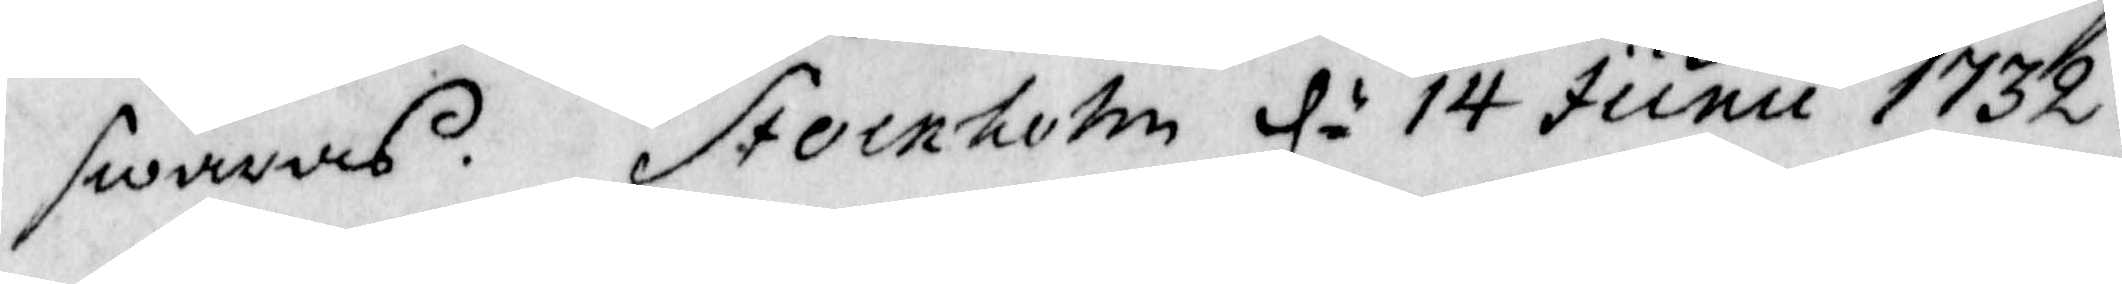swaras. Stocnholm d 14 Junu 1732.
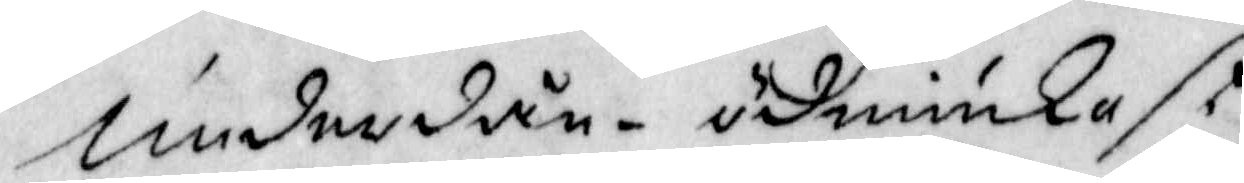underdån-ödmiukast
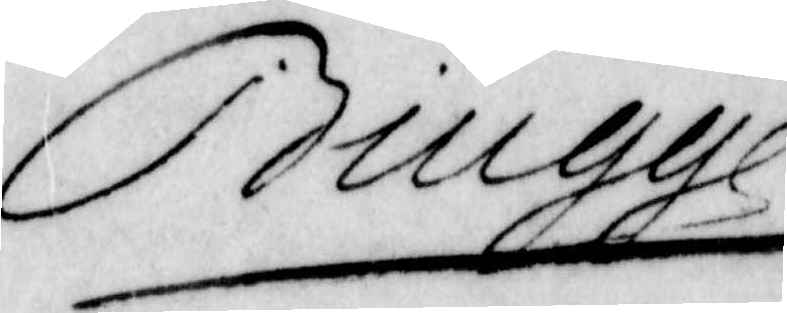Biugge
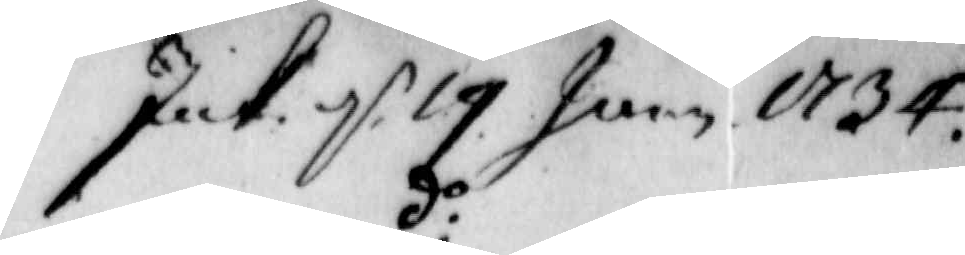Int: d 19 June 1734
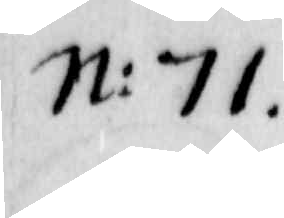N:71
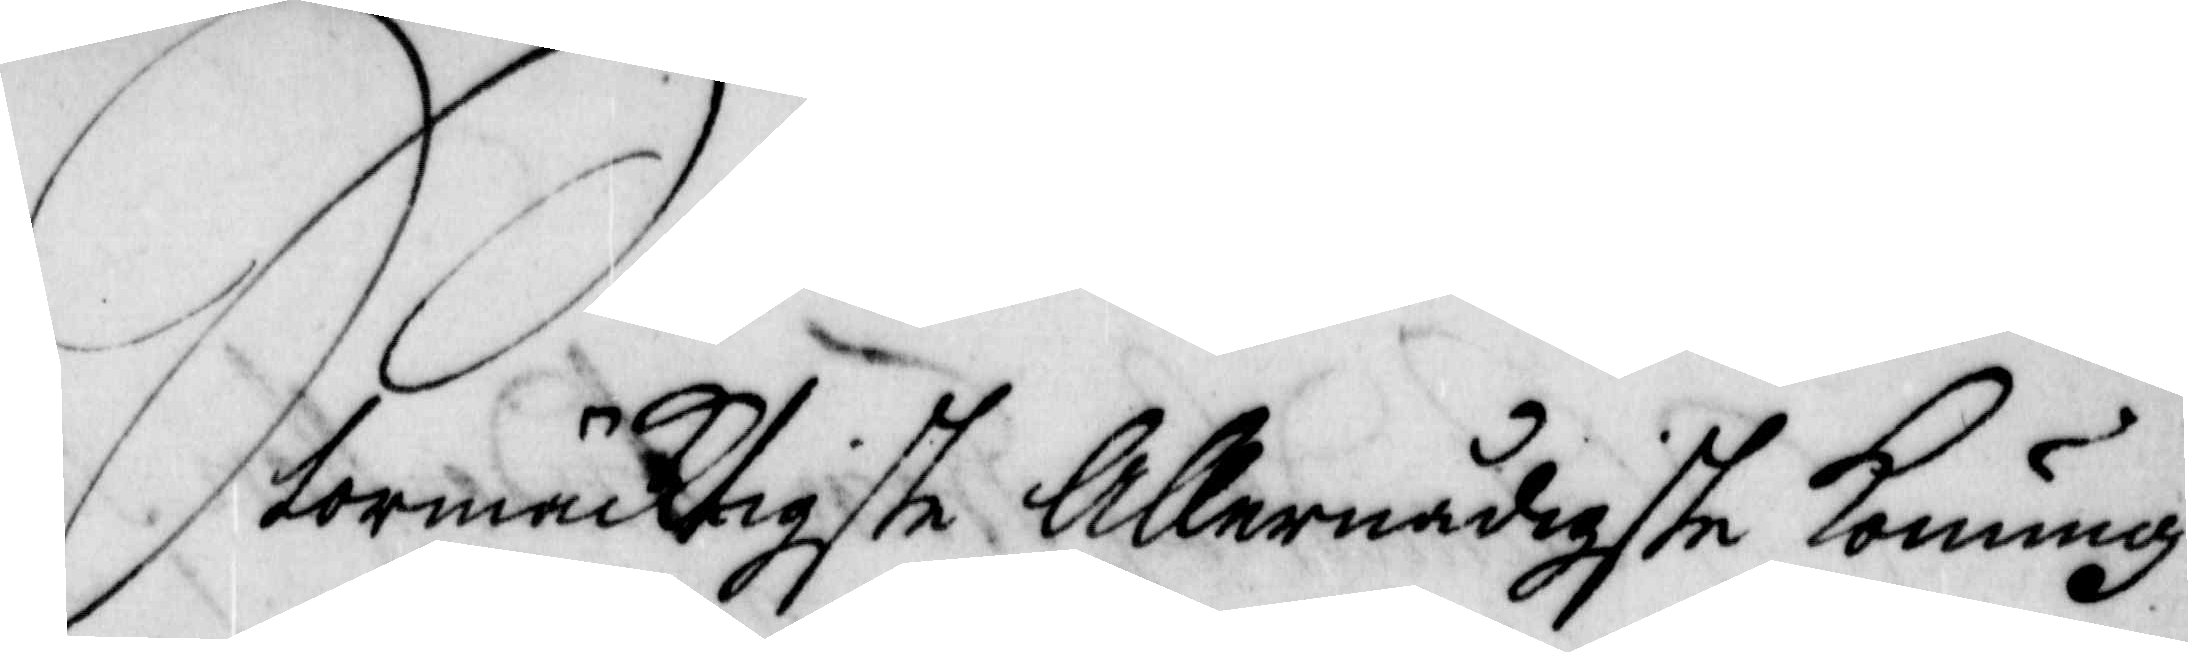Stormäcktigste Allernådigste Konung!
